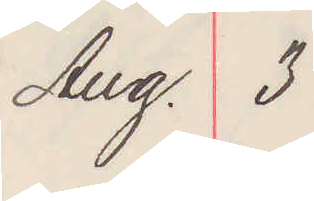Aug. 3
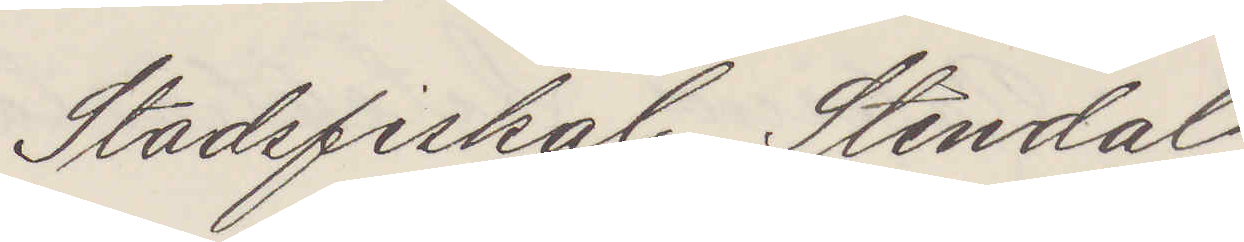Stadsfiskal Stendahl
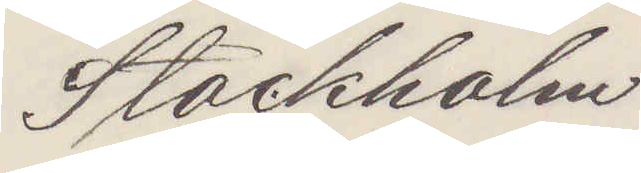Stockholm
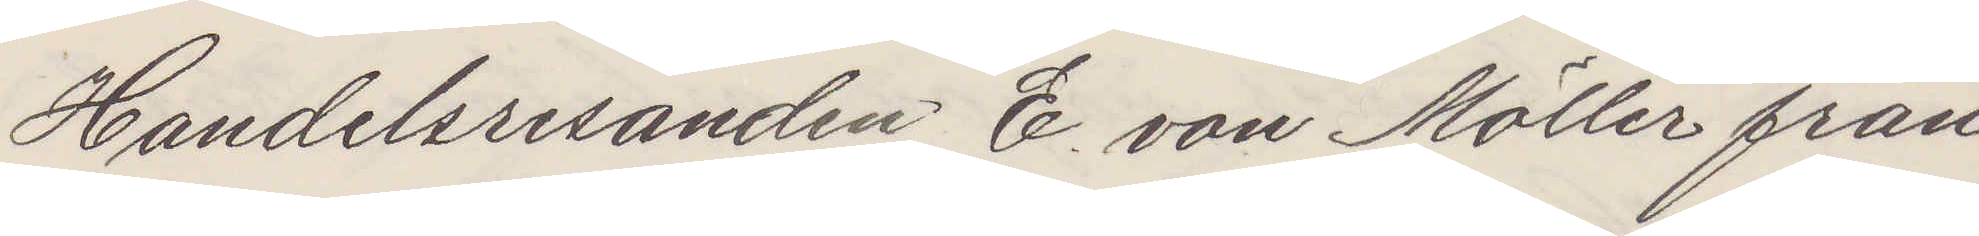Handelsresande E. von Möller från
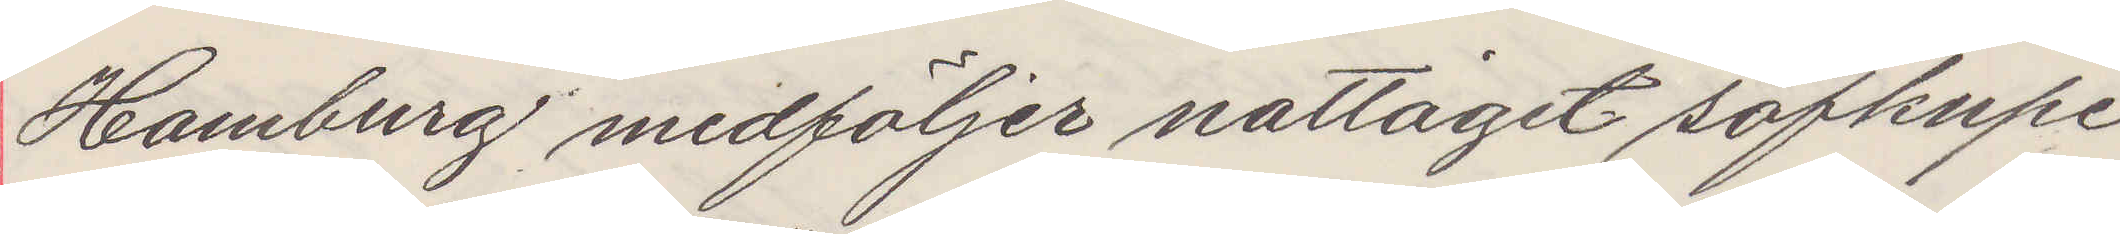Hamburg medföljer nattåget sofkupe
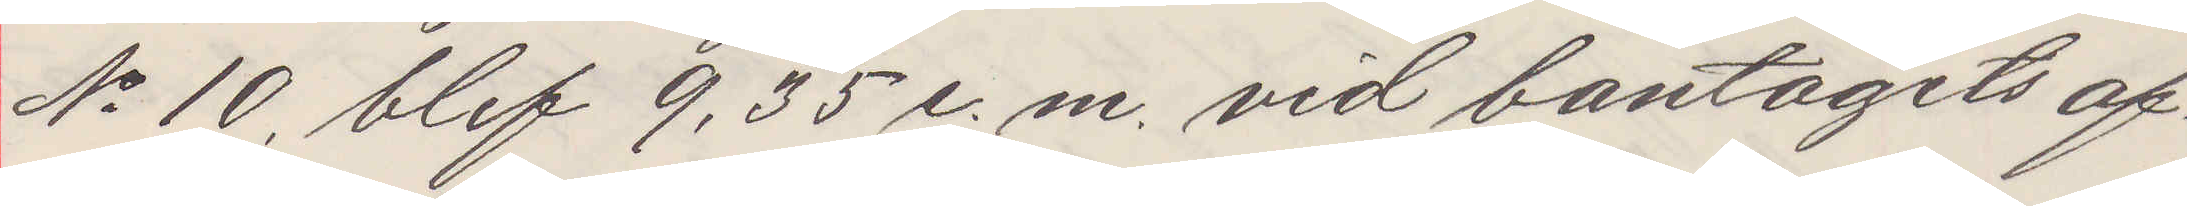No 10, blef 9,35 e. m. vid bantågets af¬
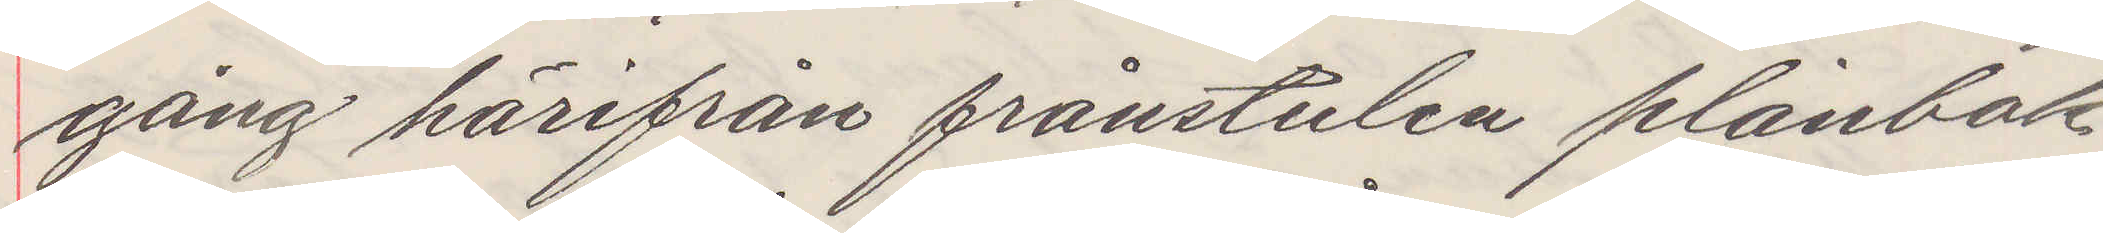gång härifrån frånstulen planbok
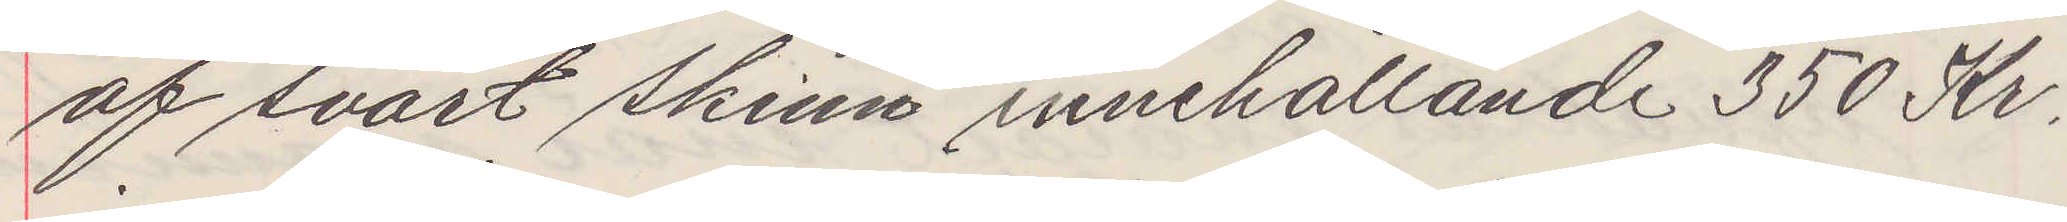af svart skinn innehållande 350 Kr
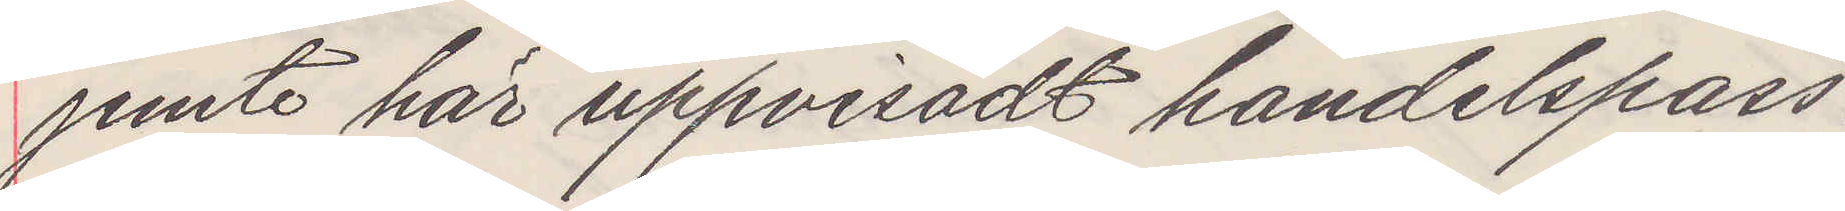jemte här uppvisadt handelspass.
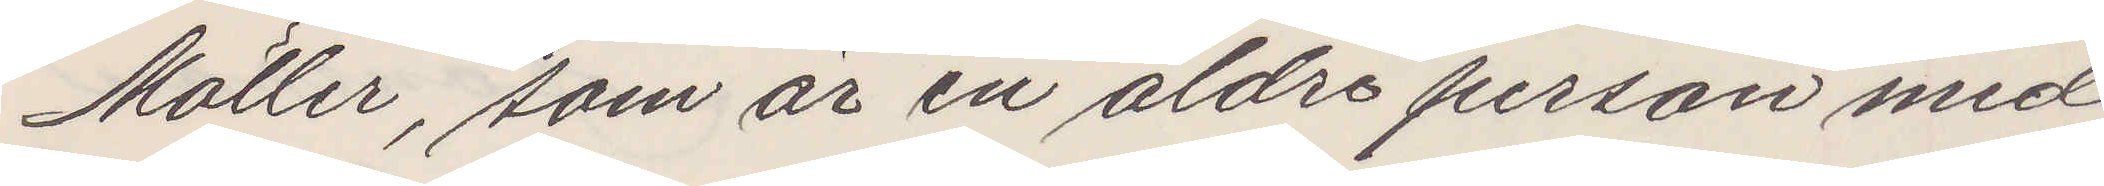Möller som är en äldre person med
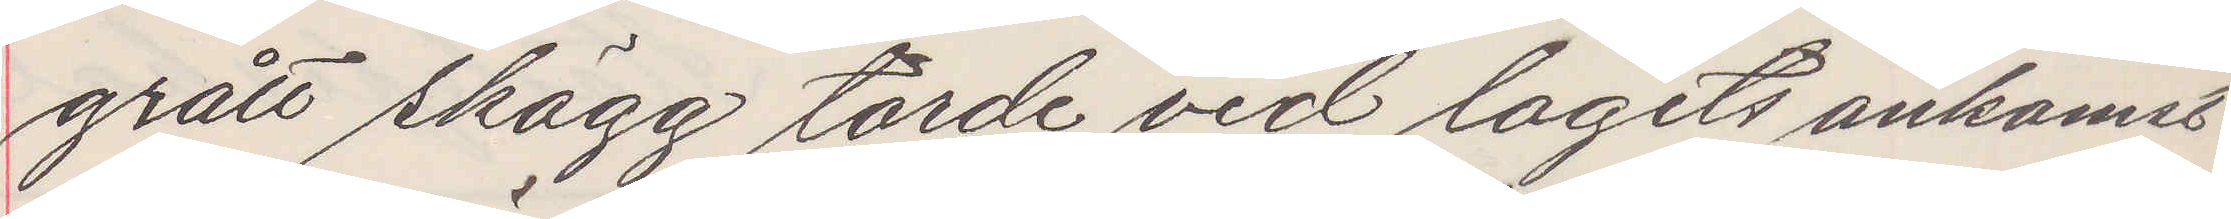grått skägg torde vid tagets ankoms....
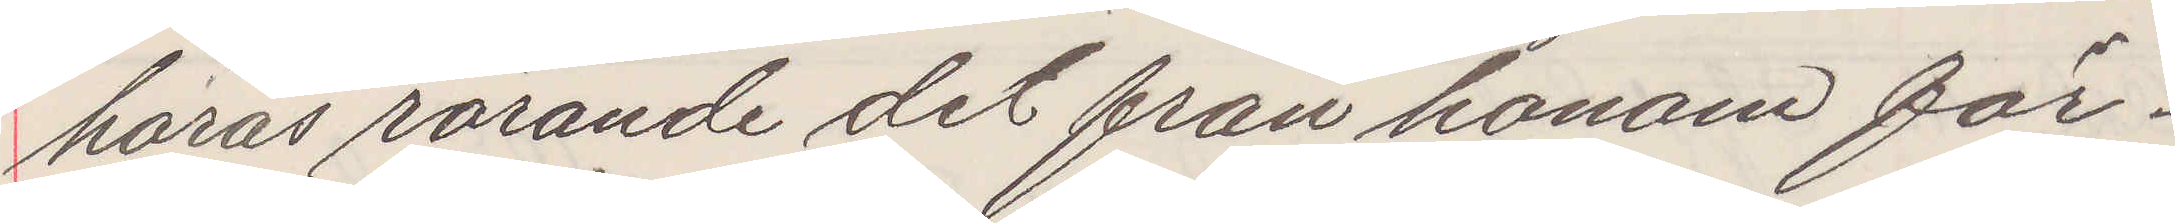höras rörande det från honom för¬
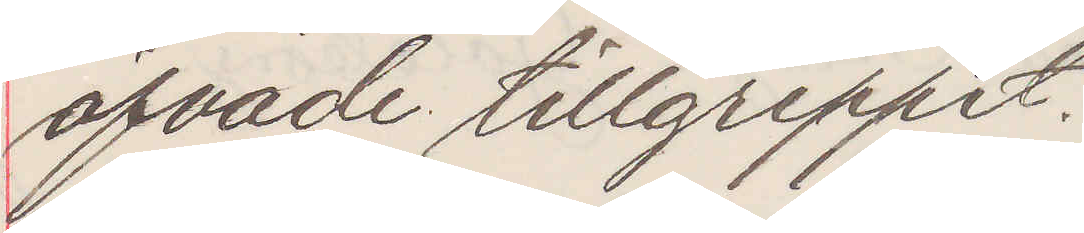öfvade tillgreppet.
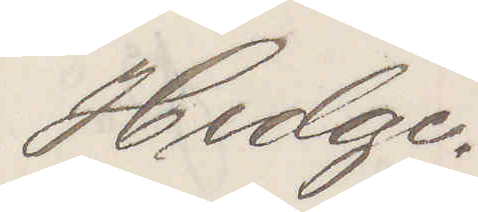Hedge.
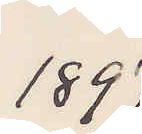1897
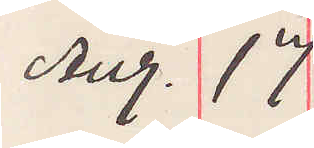Aug. 17
